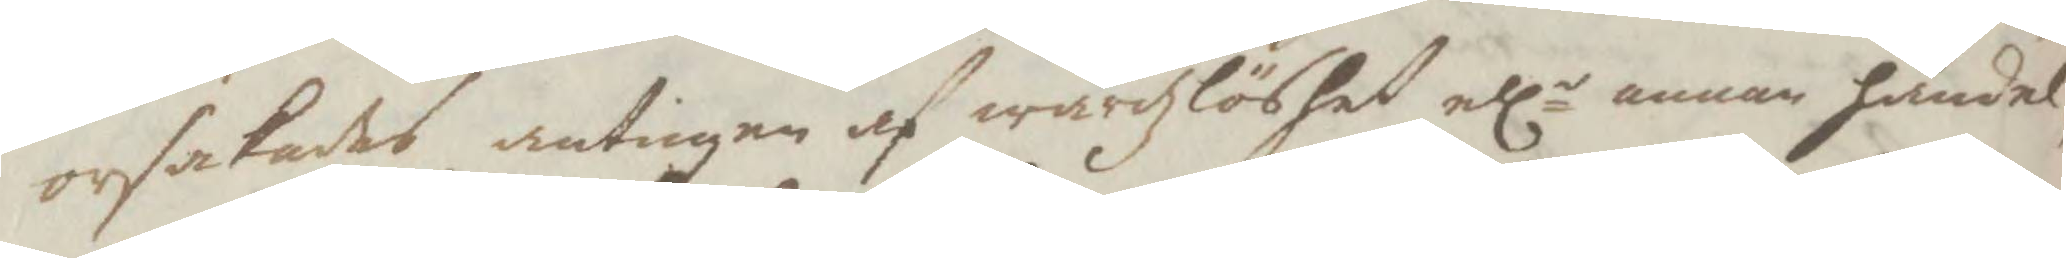orsakadts, antingen af wårdzlöshet ellr annan händel¬
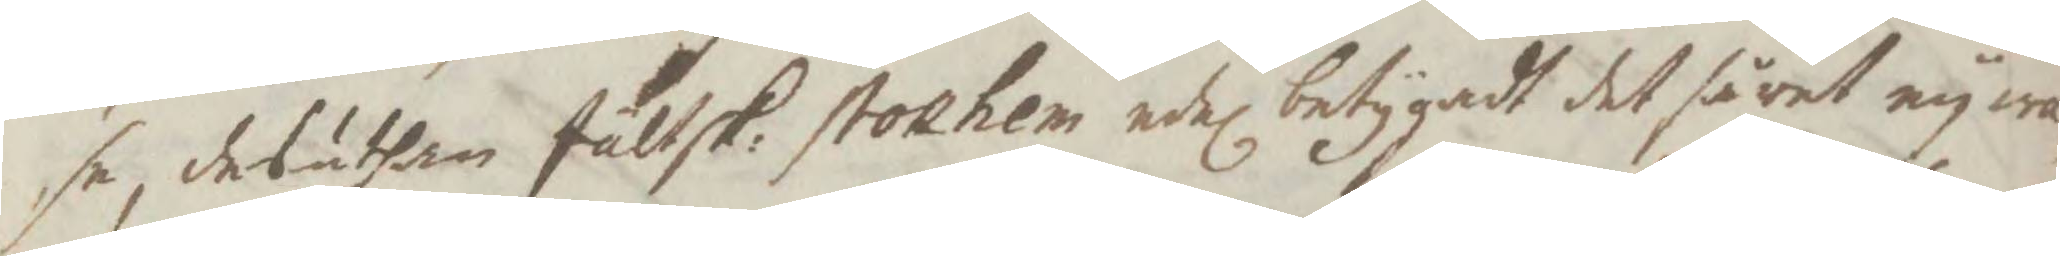se, desuthan fältsk: stokhem edel. betygadt det såret ey wa¬
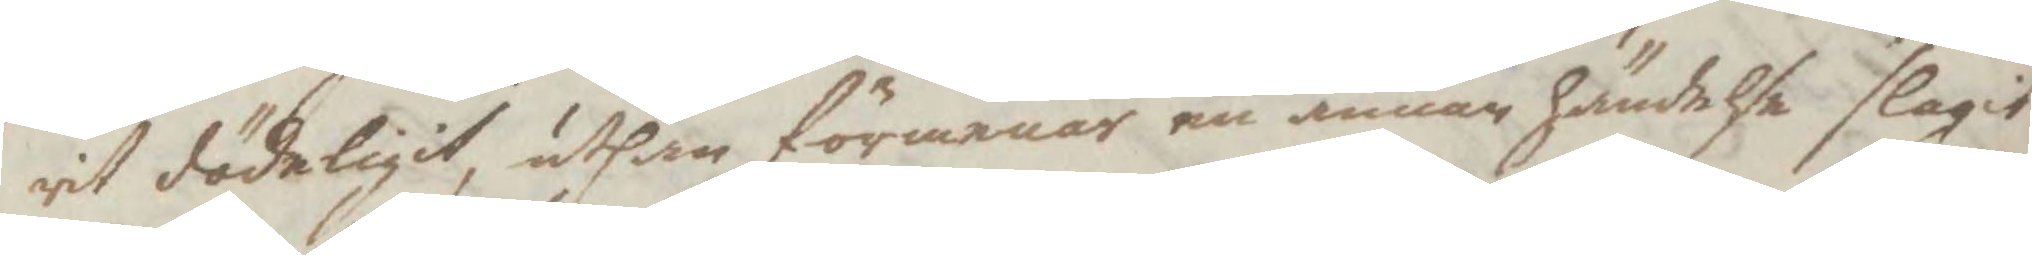rit dödeligit, uthan förmenar en annan händelse slagit
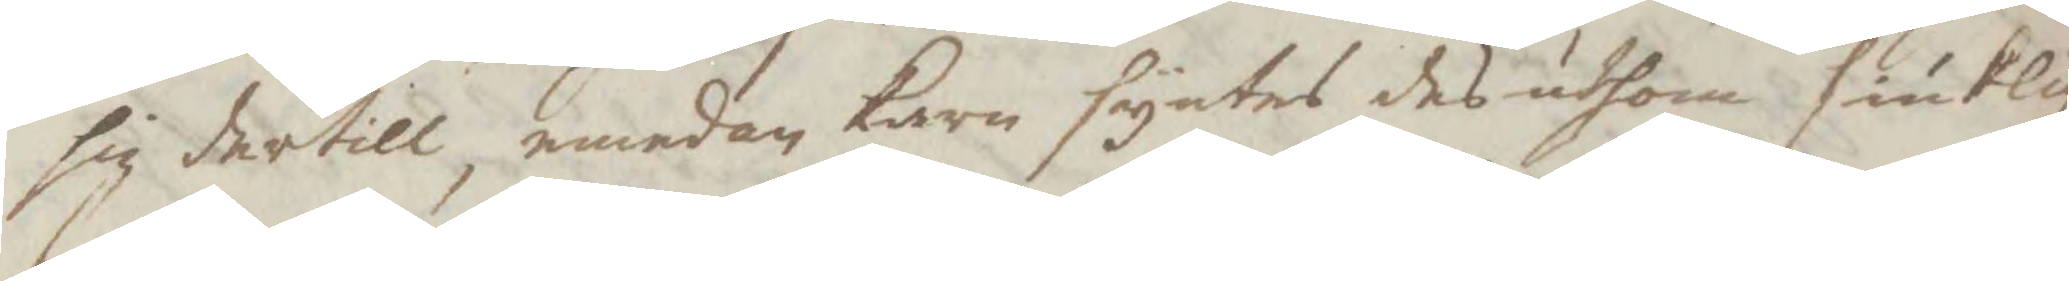sig dertill, emedan karn syntes des uthom siuklig
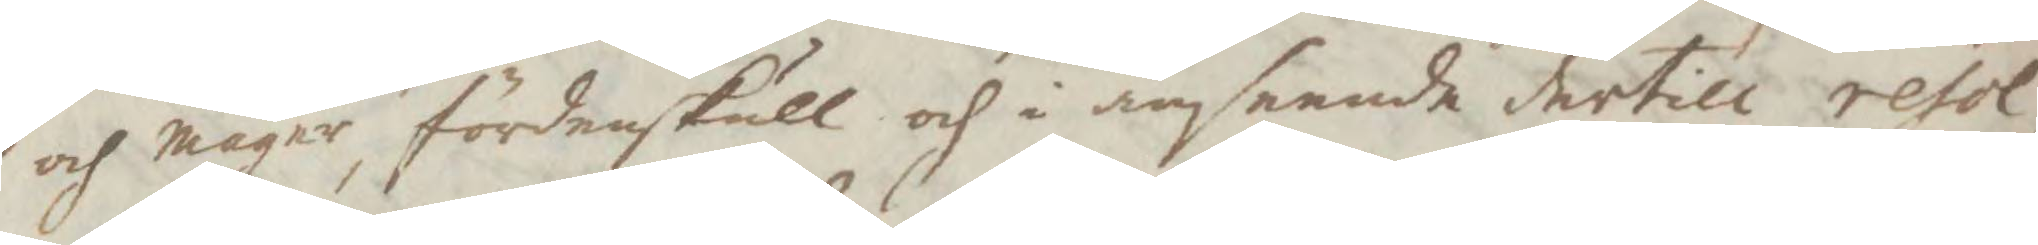och mager, fördenskull och i anseende dertill resol¬
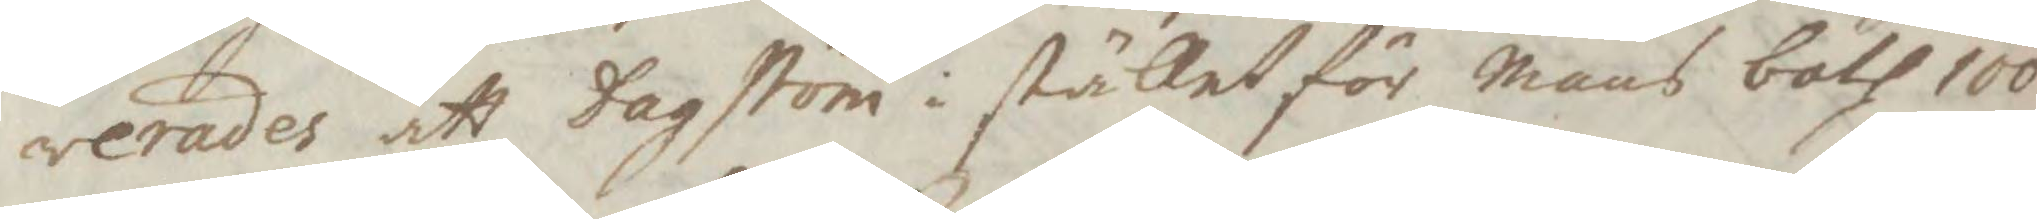verades att Hagström i stället för mans both 100
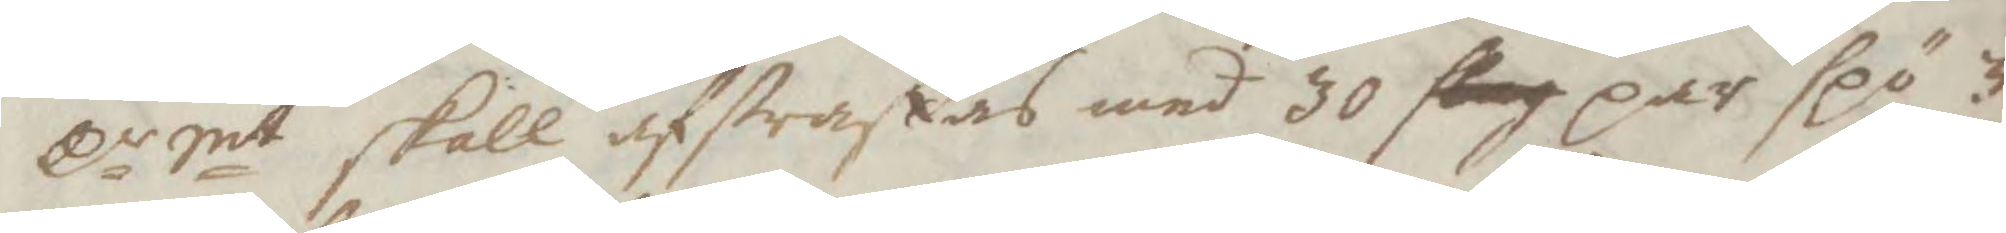Cr Smt skall afstraffas med 30 slag par spö, 3
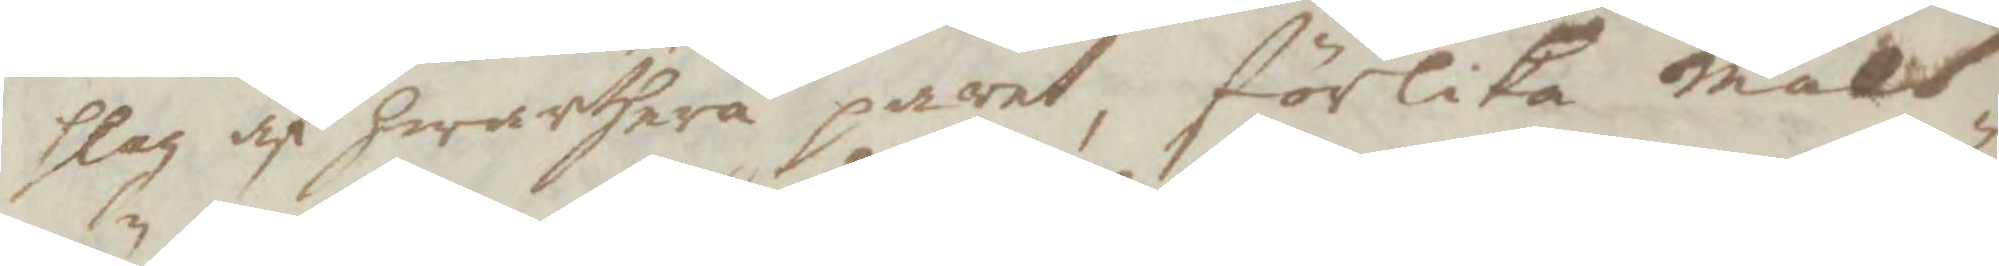slag af hwarthera paret, sörlika måls¬
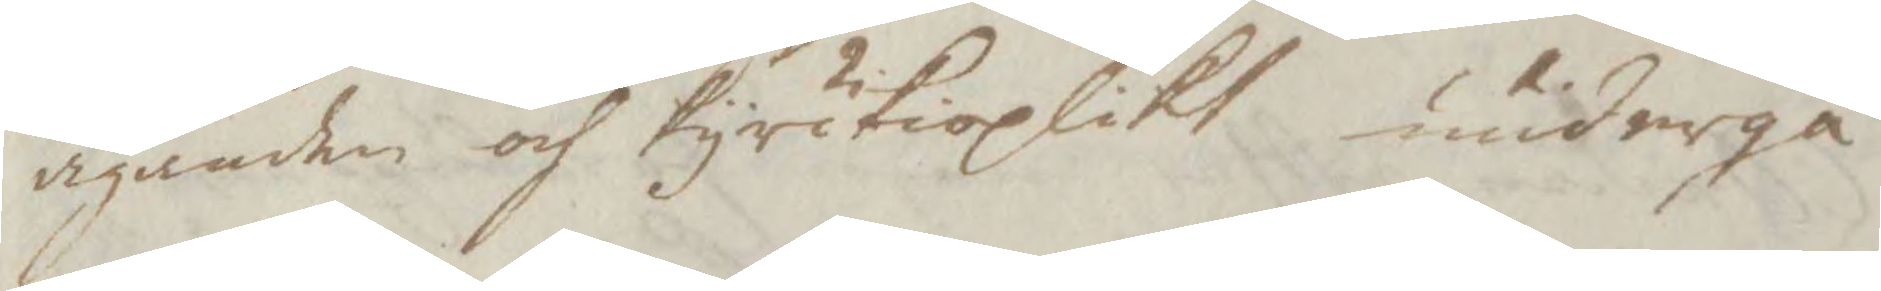äganden och kyrkioplikt undergå
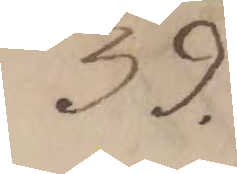39.
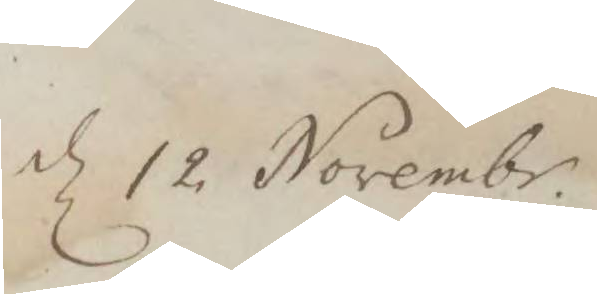d 12 Novembr.
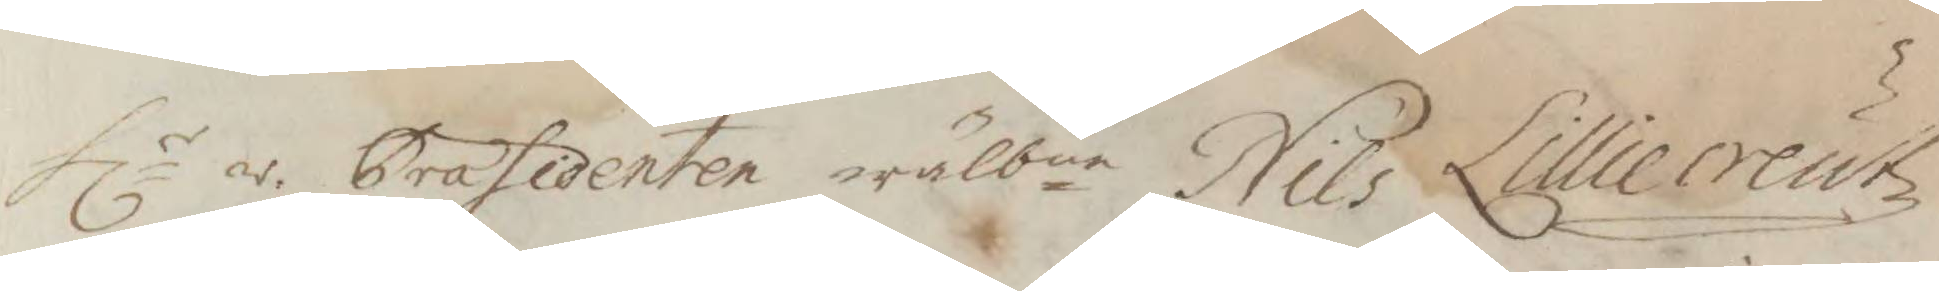Hlr r: Præsidenten wälbne Nils Lilliecreutz
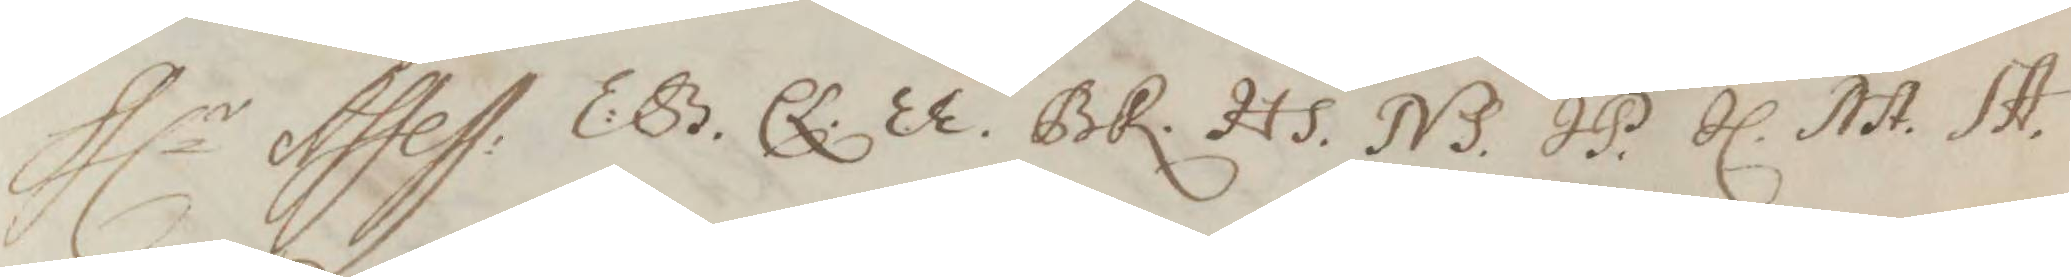Hlr Assess: E:B. EL. EE. BR. HS. NS. IP. IL. NA. SA.
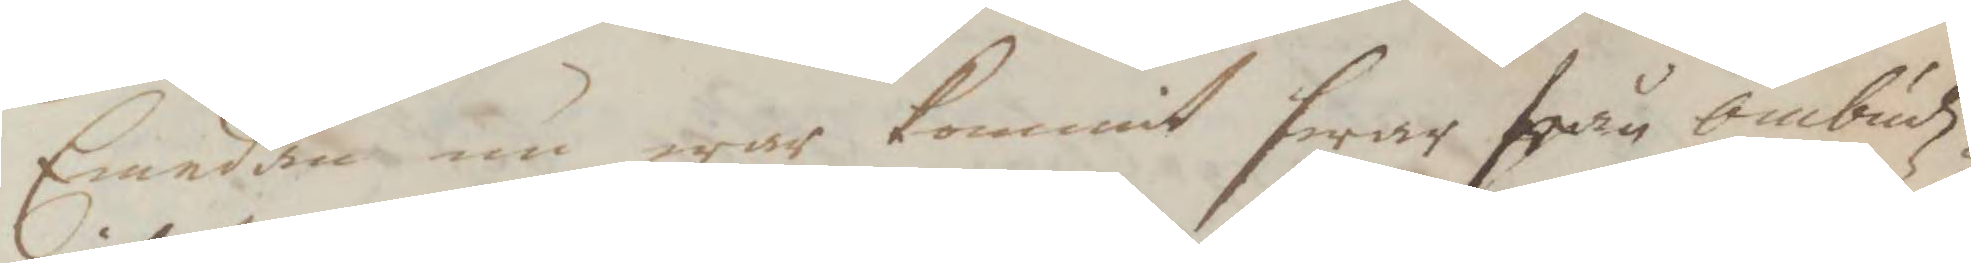Emedan nu war kommit swar från ombudz¬
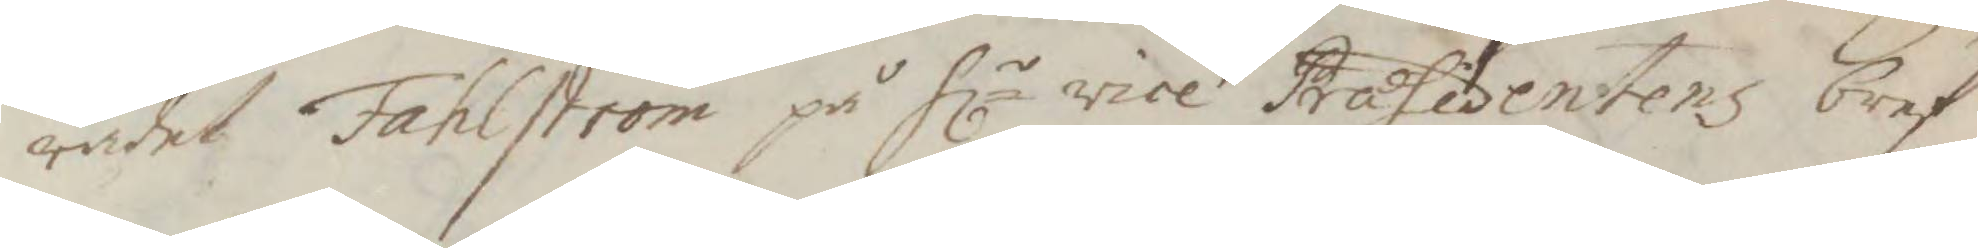rådet Fahlström på Hl vice Præsidentens bref
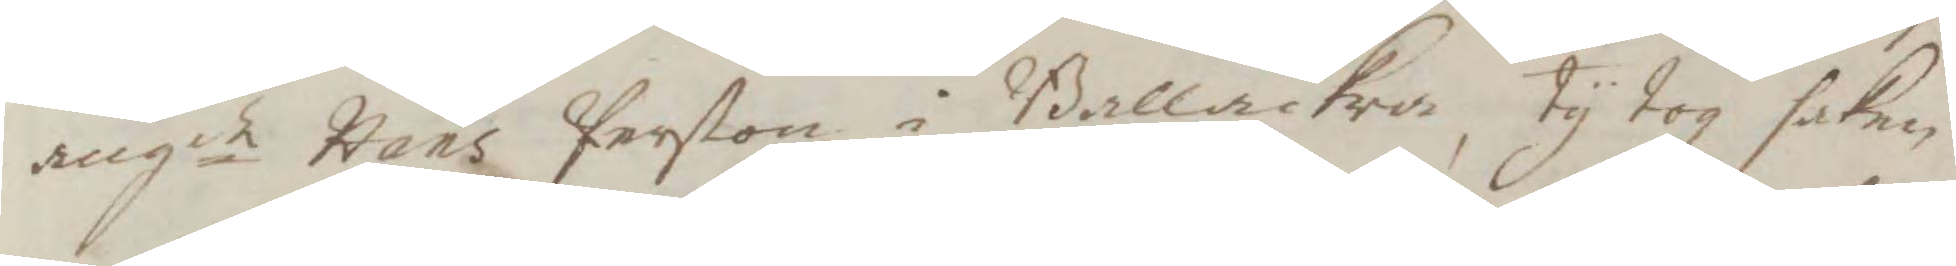angde Hans Perßon i Ballåckra, ty tog saken
